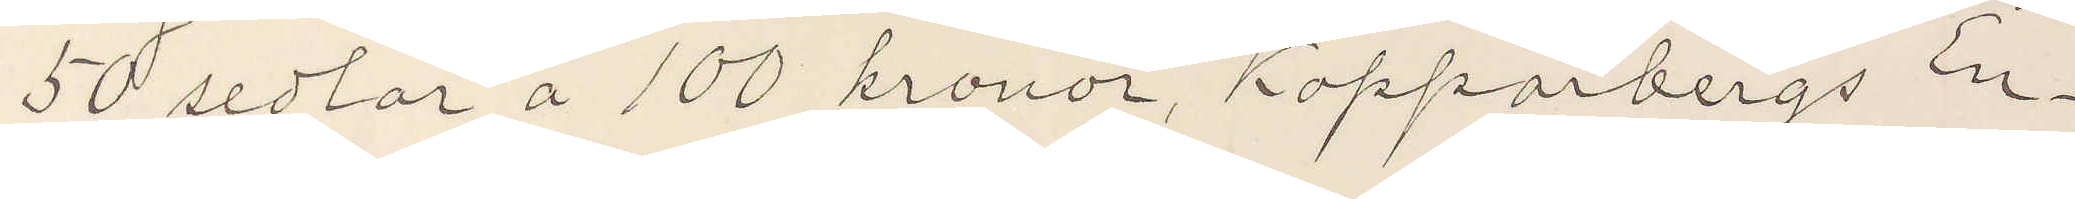50 sedlar å 100 kronor, Kopparbergs En¬
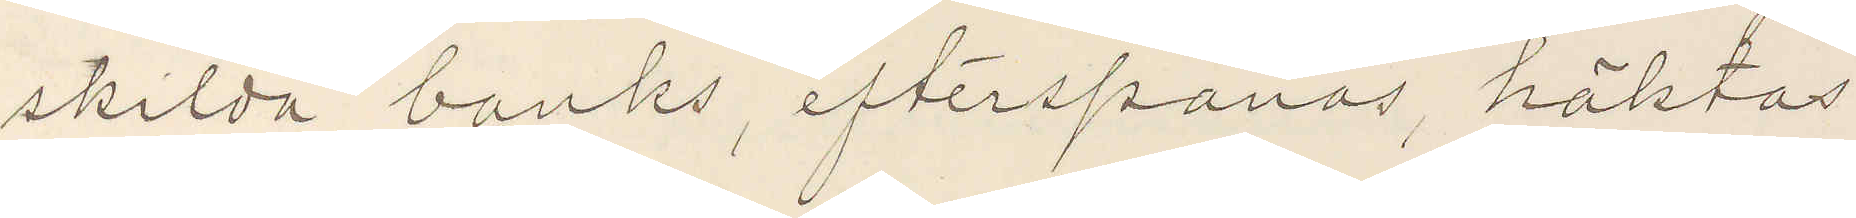skilda banks, efterspanas, häktas
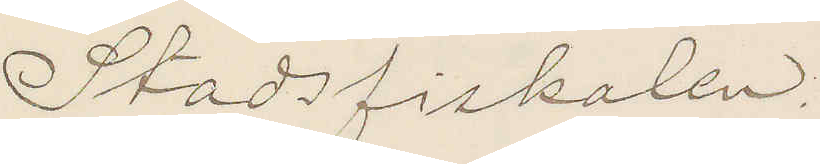Stadsfiskalen.
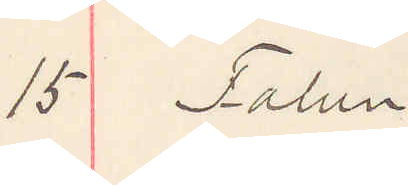15 Falun
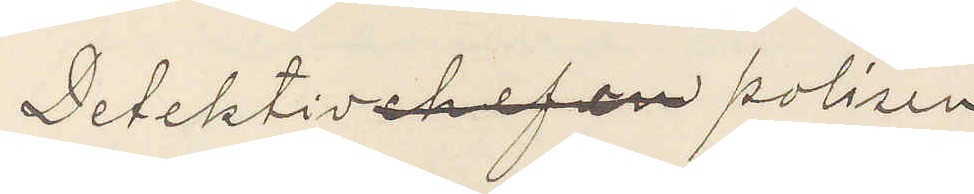Detektivchefen polisen
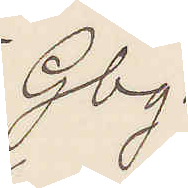Gbg.
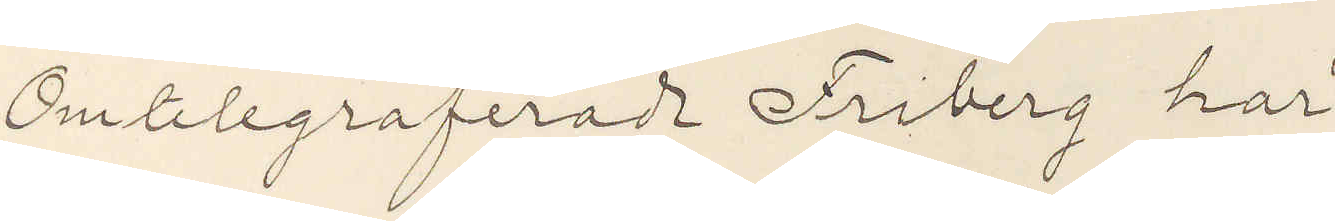Omtelegraferade Friberg har
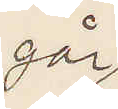går
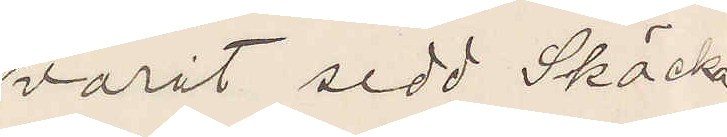varit sedd Skäcka
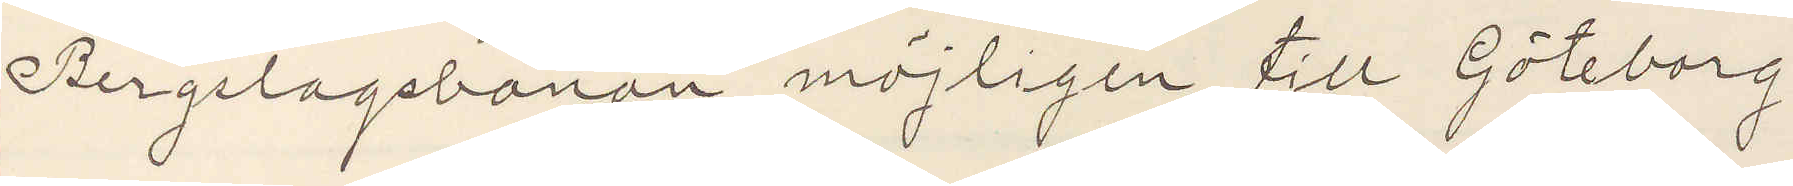Bergslagsbanan möjligen till Göteborg
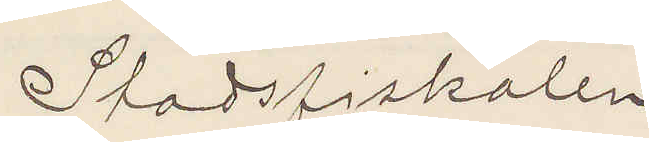Stadsfiskalen
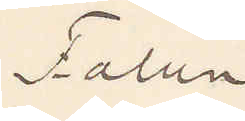Falun
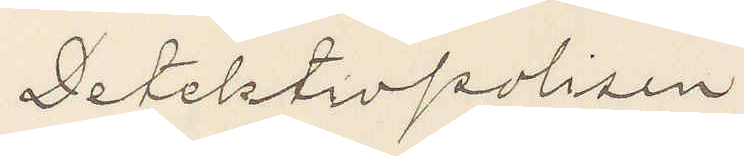Detektivpolisen
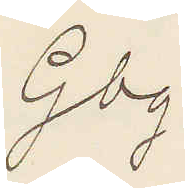Gbg.
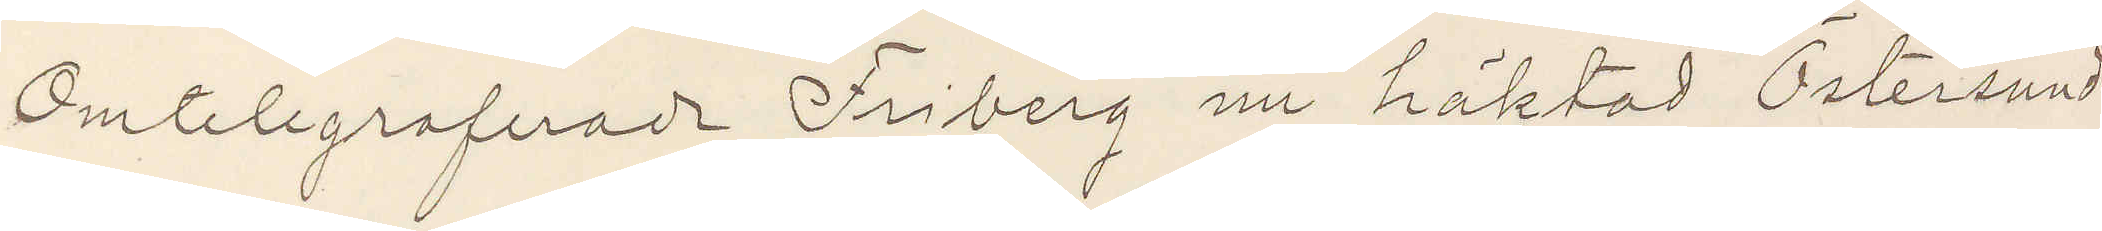Omtelegraferade Friberg nu häktad Östersund
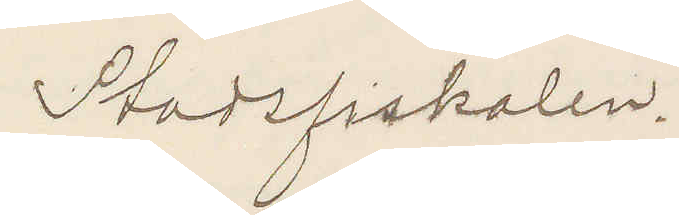Stadsfiskalen.
